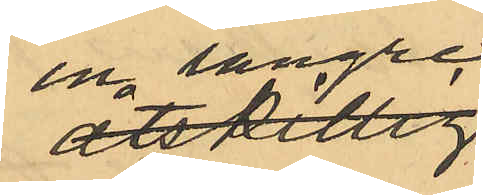en längre 
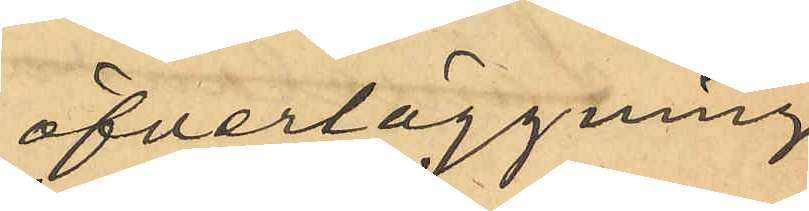öfverläggning
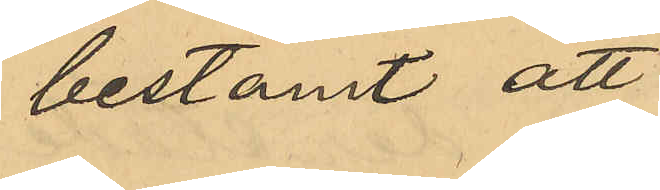bestämt att
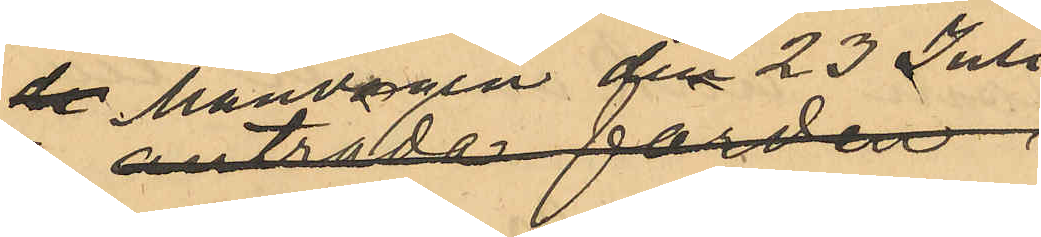Måndagen den 23 Juli
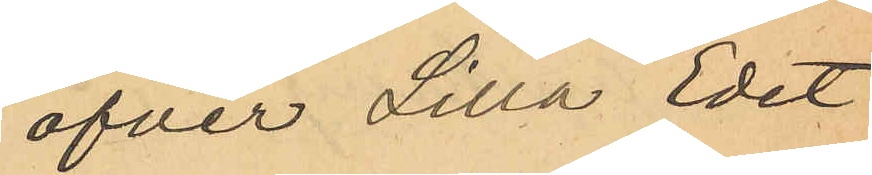öfver Lilla Edet
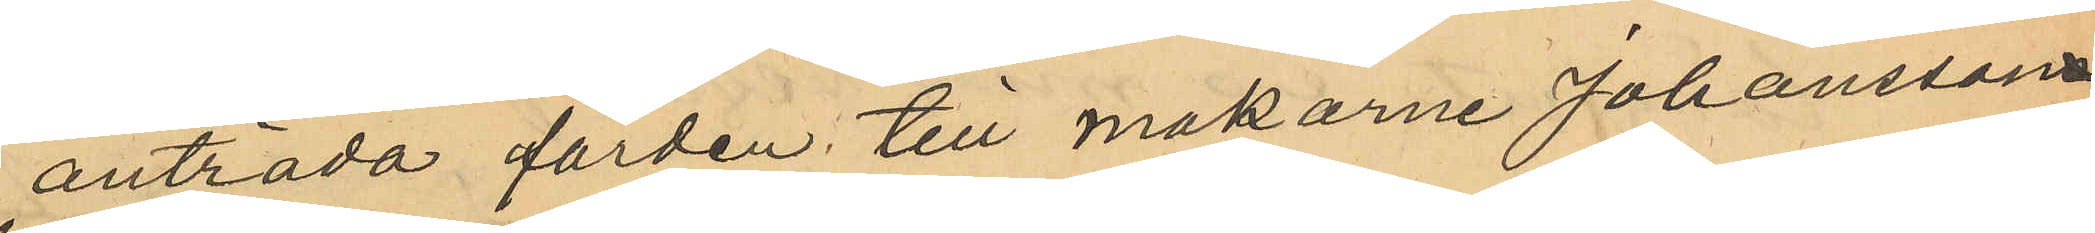anträda färden till makarne Johanssons
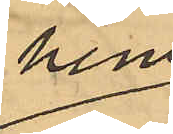hem;
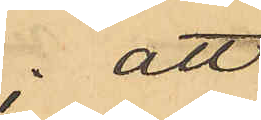att 
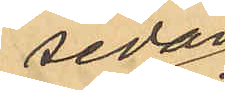sedan
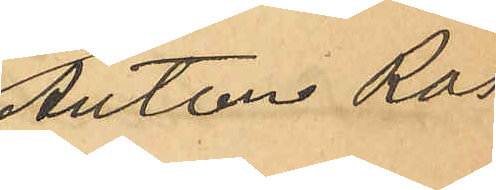Anton Ros
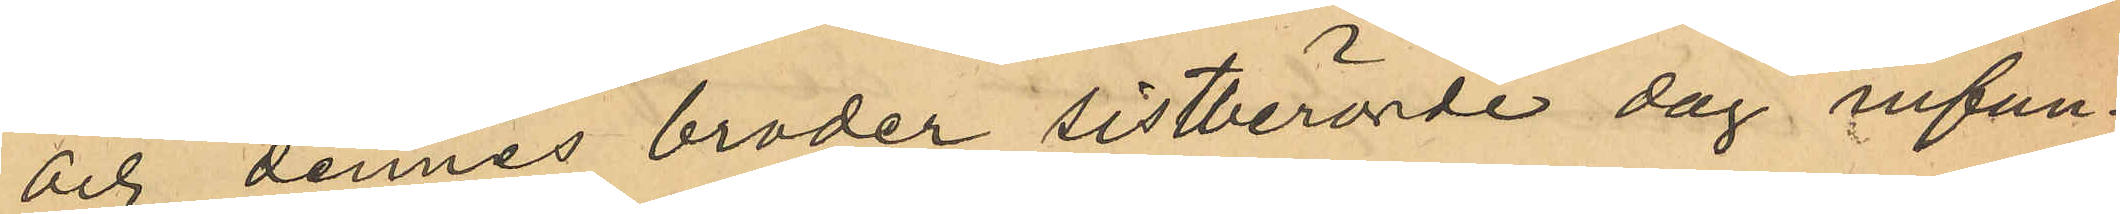och dennes broder sistberörde dag infun¬
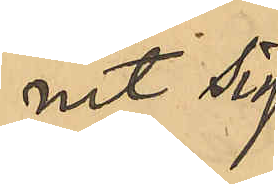nit sig 
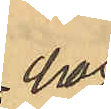hos
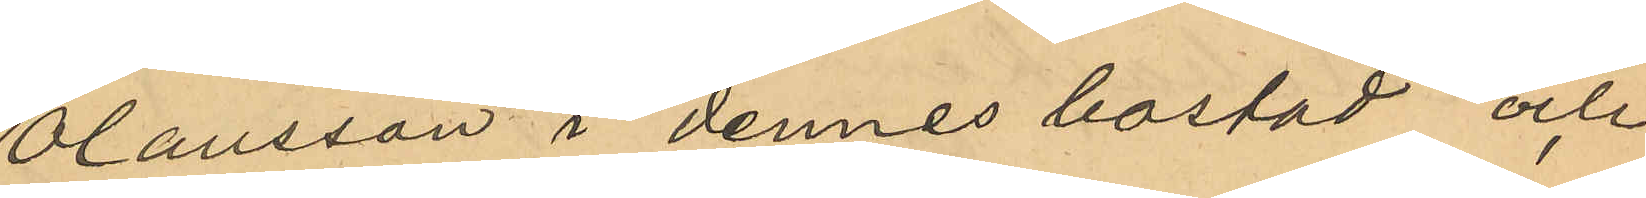Olausson i dennes bostad och
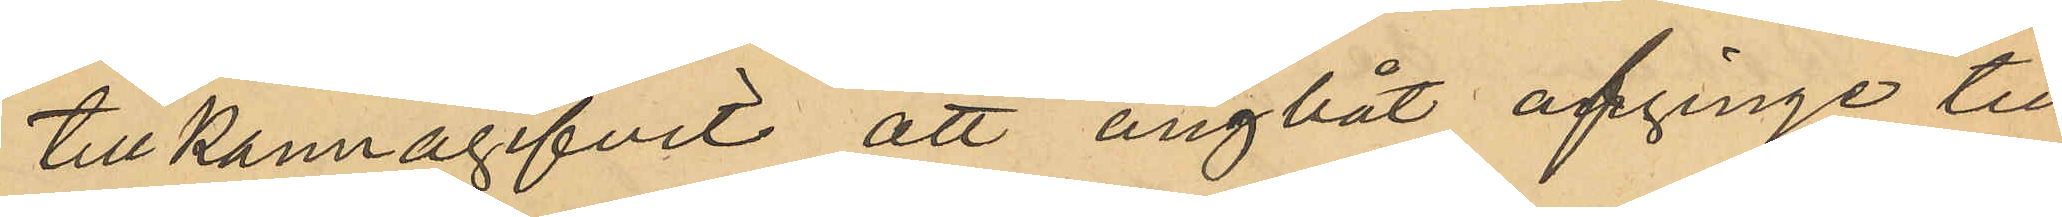tillkannagifvit att ångbåt afgingo till
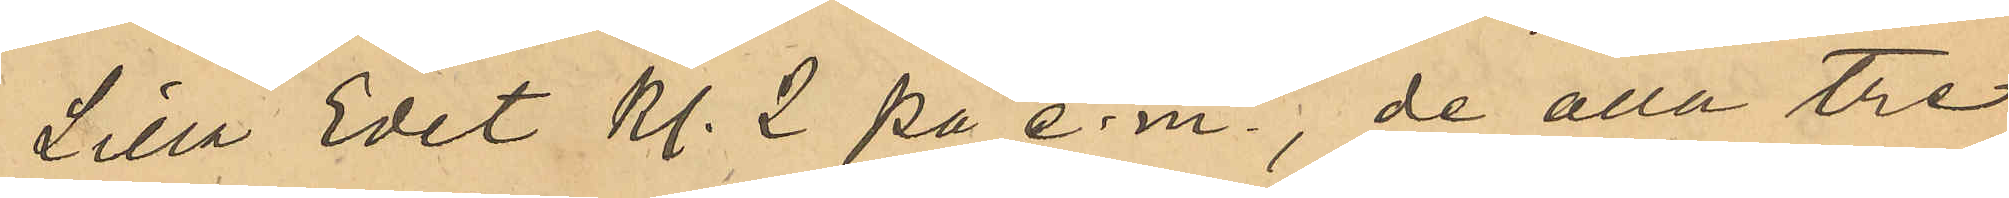Lilla Edet Kl. 2 på e. m., de alla tre
